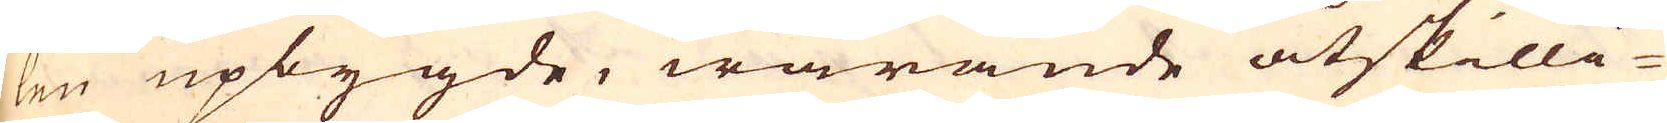len upbygde, warande åtskilli-
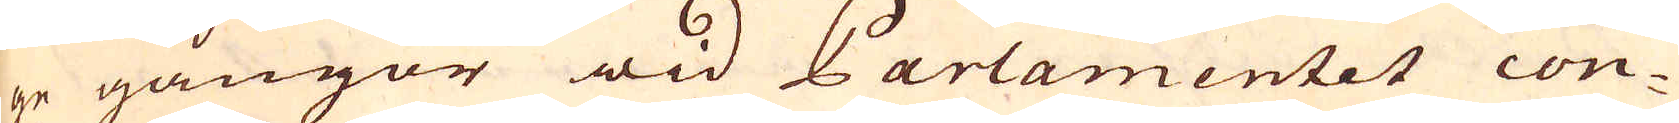ge gångor wid Parlamentet con-
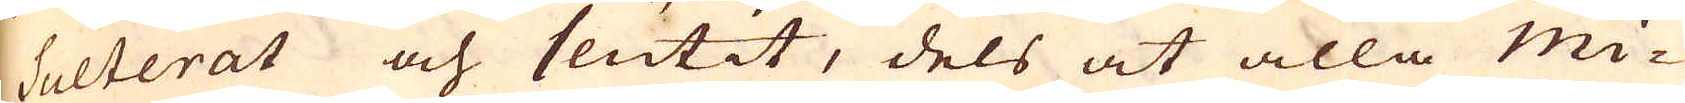sulterat och slutit, dels at alla Mi-
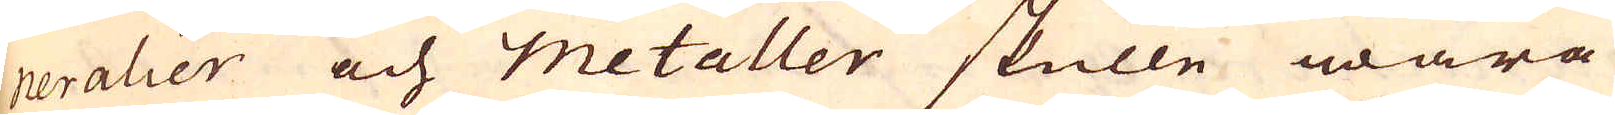neralier och metaller skulle wara
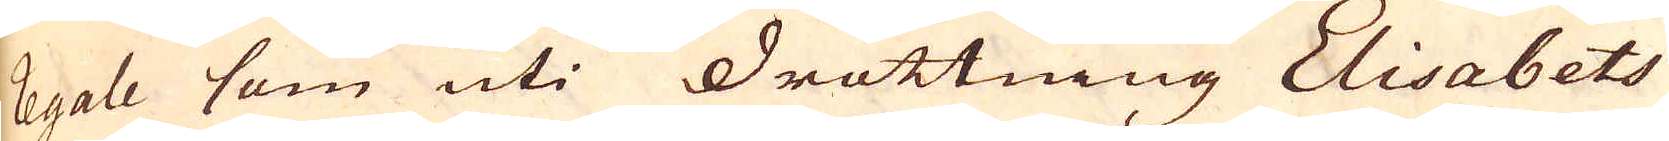regale som uti drottning Elisabets
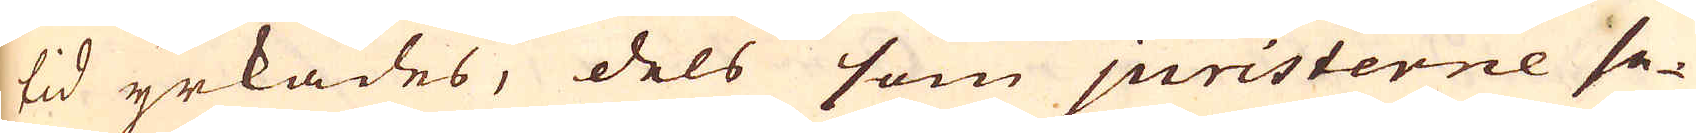tid yrkades, dels som juristerne se-
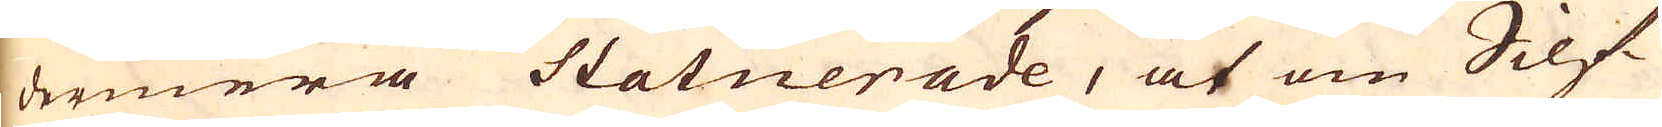dermera statuerade, at om Silf-
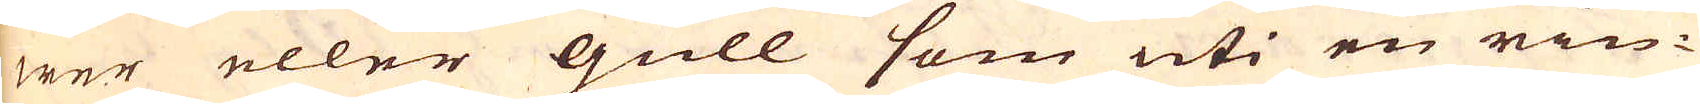wer eller Gull som uti en rin-
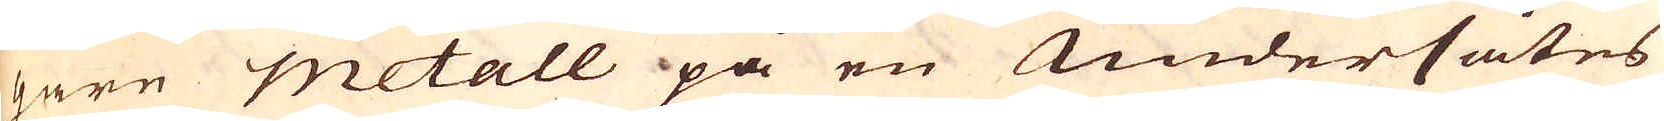gare metall på en Undersåtes
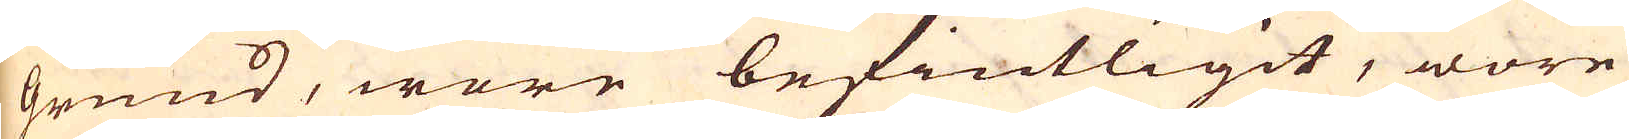grund, wore befintligit, wore
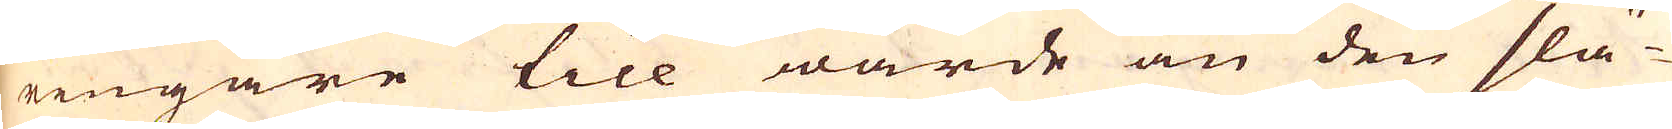ringare till wärde än den slä-
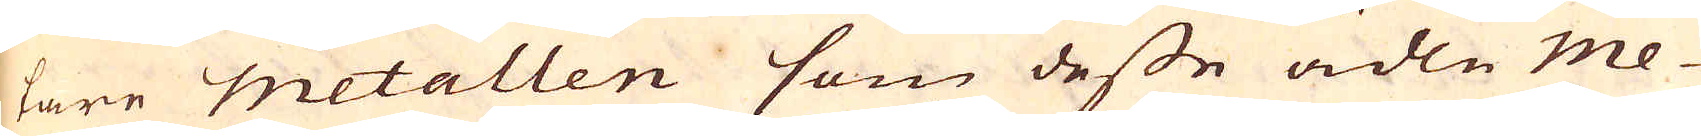tare Metallen som desse ädle Me-
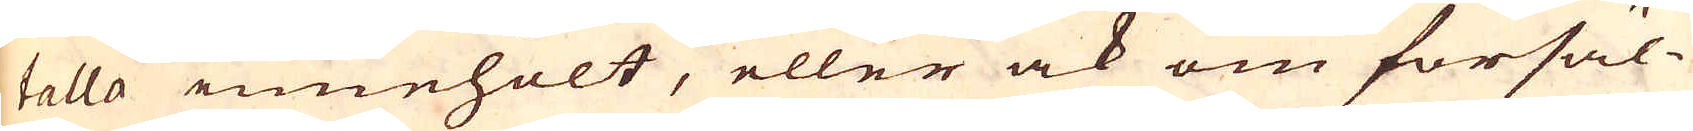talla innehölt, eller ock om försäl-
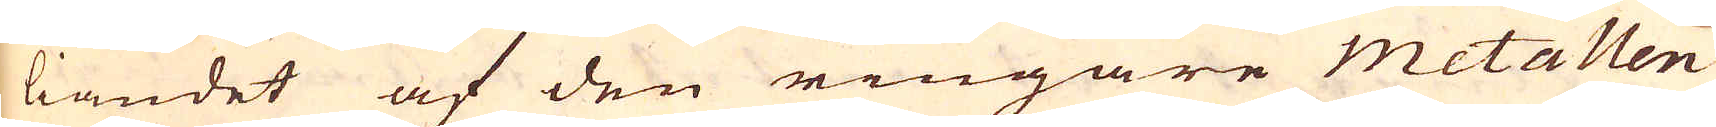liandet af den ringare metallen
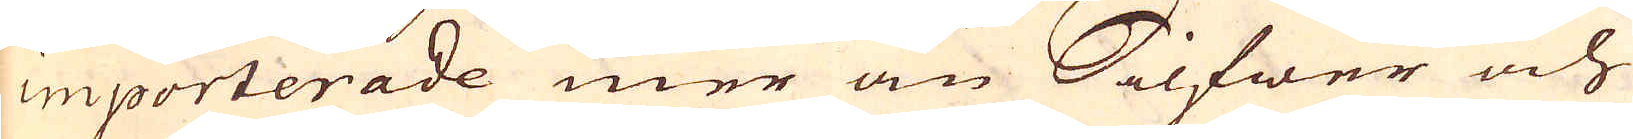importerade mer än Silfwer och
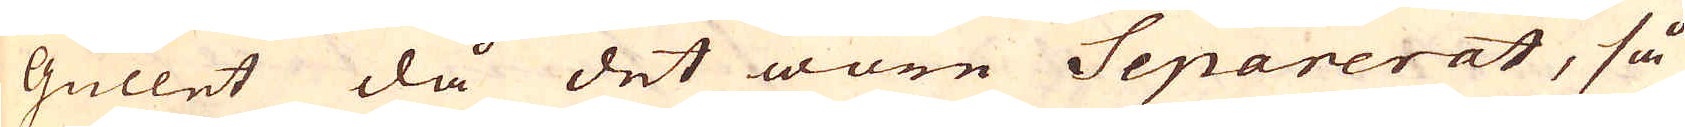Gullet då det wore Separerat, så
